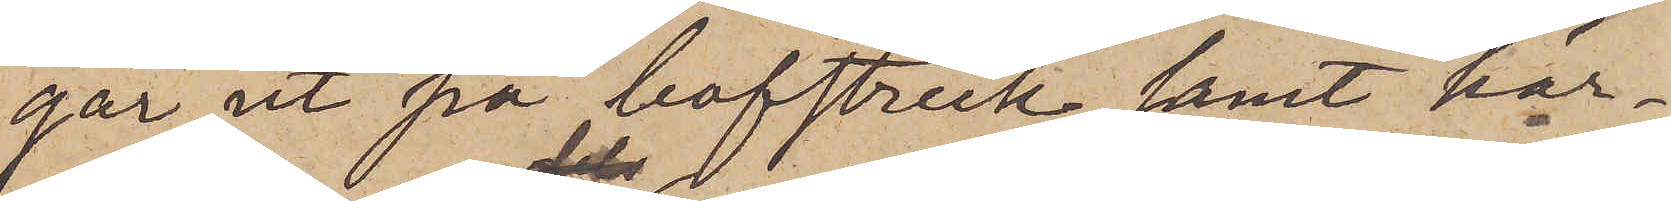går ut på bofstreck samt här¬
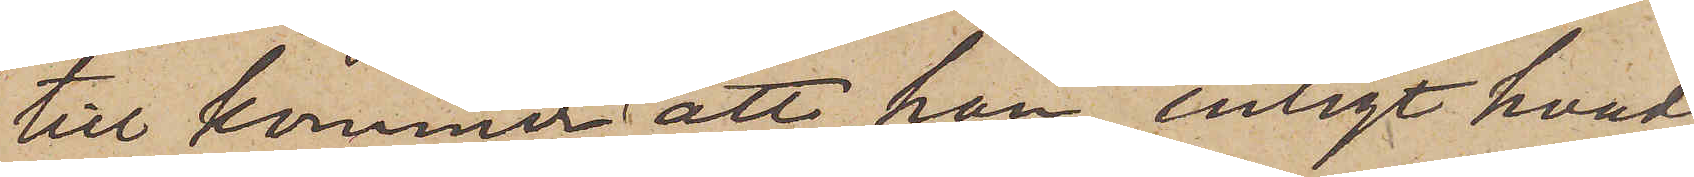till kommer att han, enligt hvad
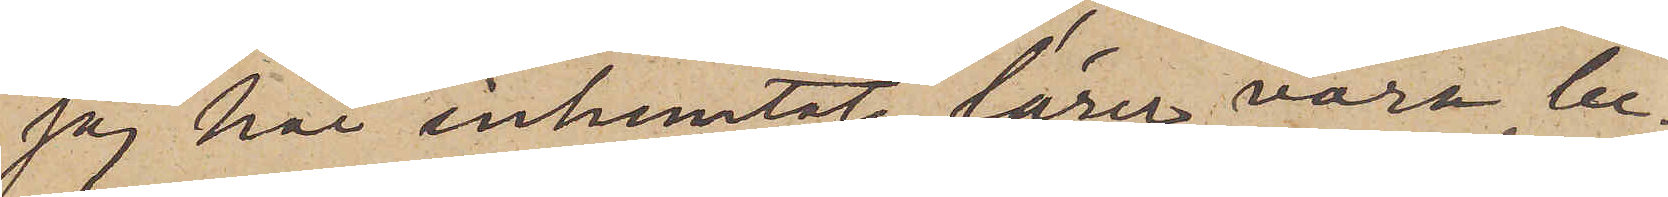jag här inhemtat, lärer vara be¬
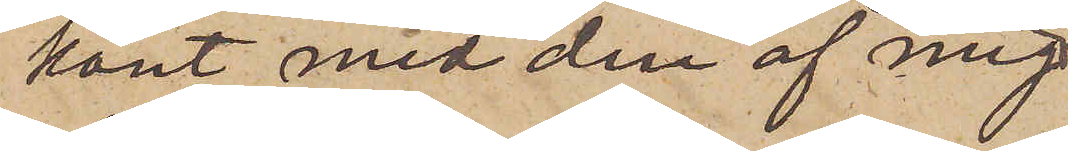kant med den af mig
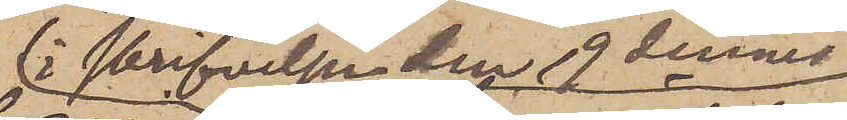i skrifvelsen den 19 dennes
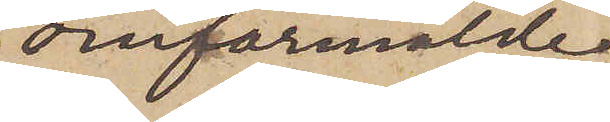omförmälde
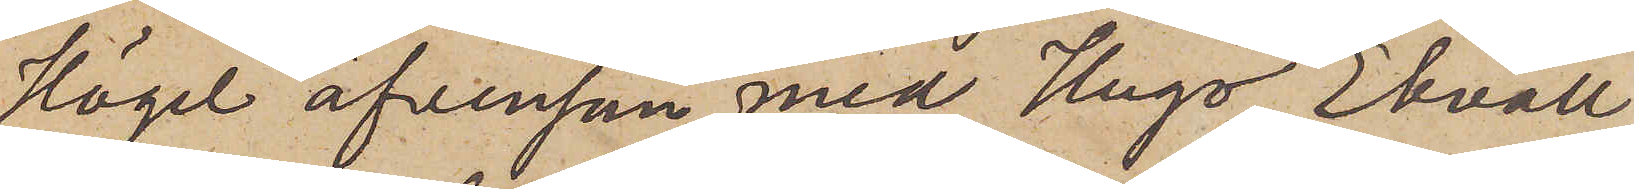Högel äfvensom med Hugo Ekvall,
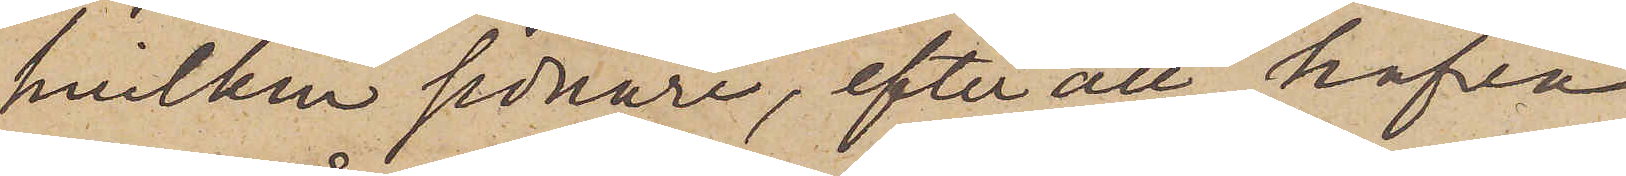hvilken sednare, efter att hafva
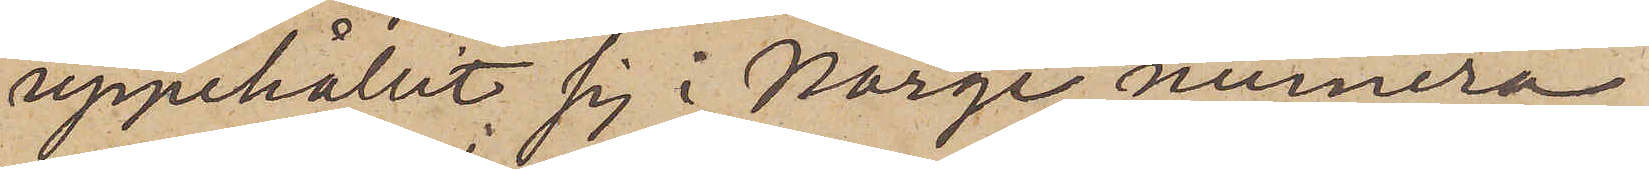uppehållit sig i Norge, numera
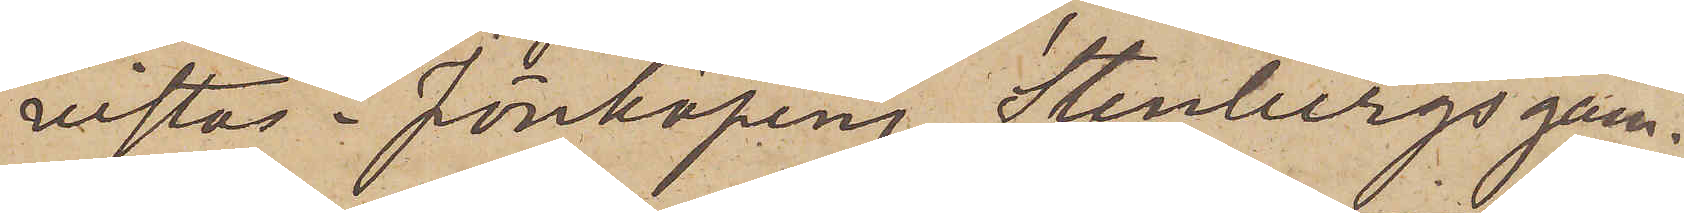vistas i Jönköping, Stenbergs gam¬
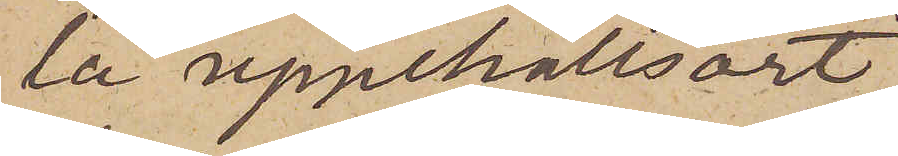la uppehållsort,
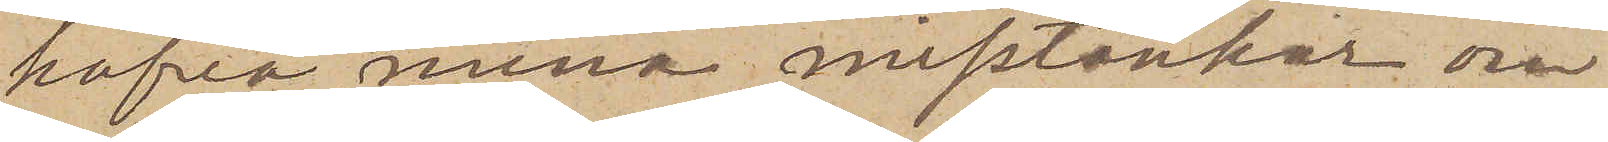hafva mina misstankar om
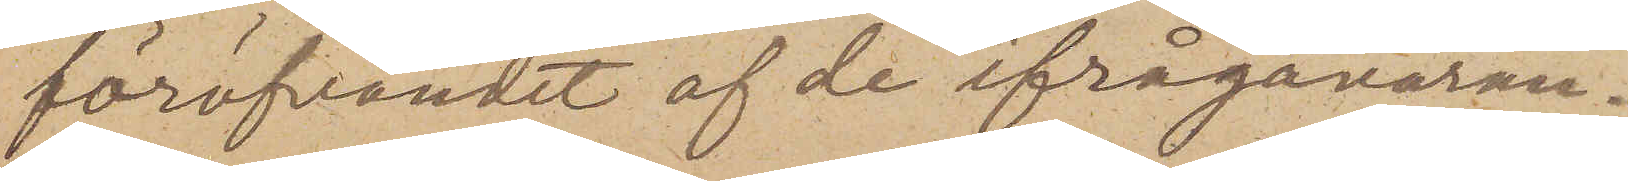föröfvandet af de ifrågavaran¬
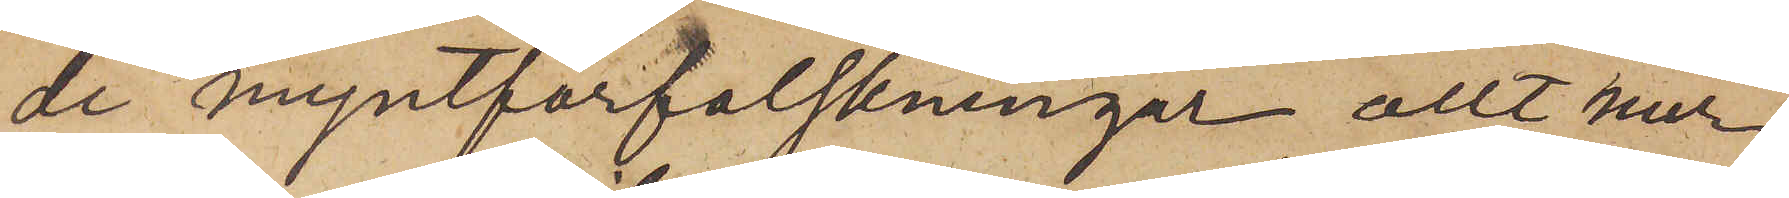de myntförfalskningar allt mer
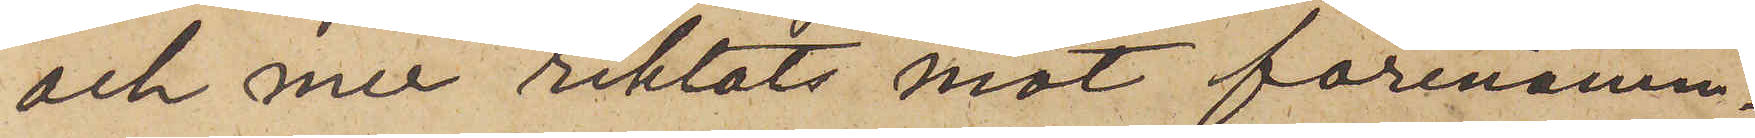och mer riktats mot förenämn¬
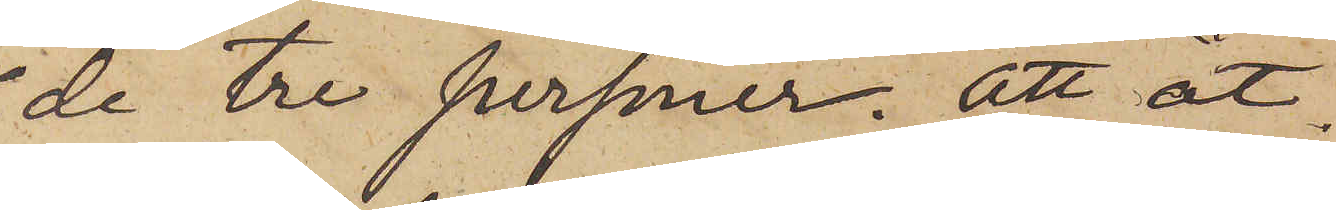de tre personer. Att åt¬
